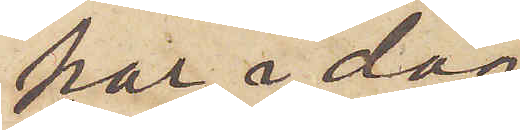har i dag
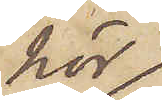här
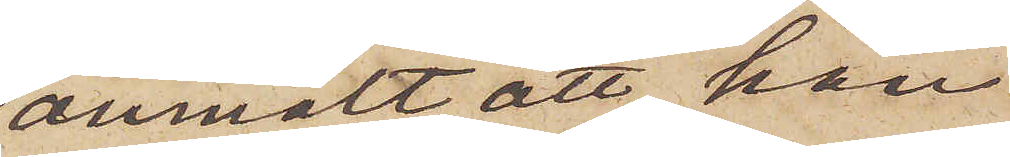anmält, att han
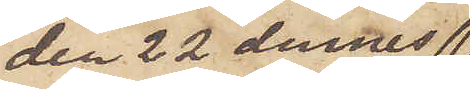den 22 dennes 
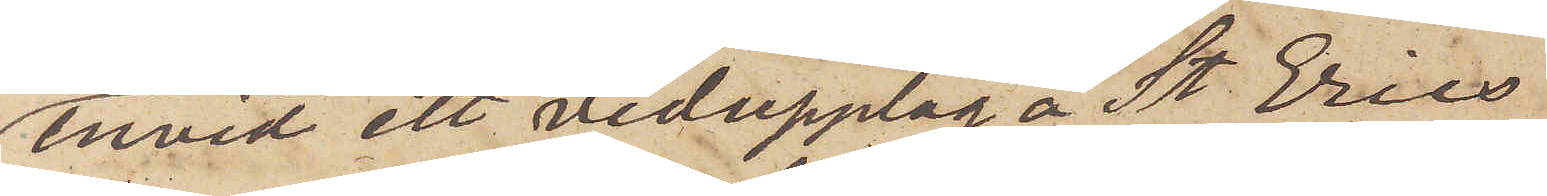invid ett vedupplag å St Erics
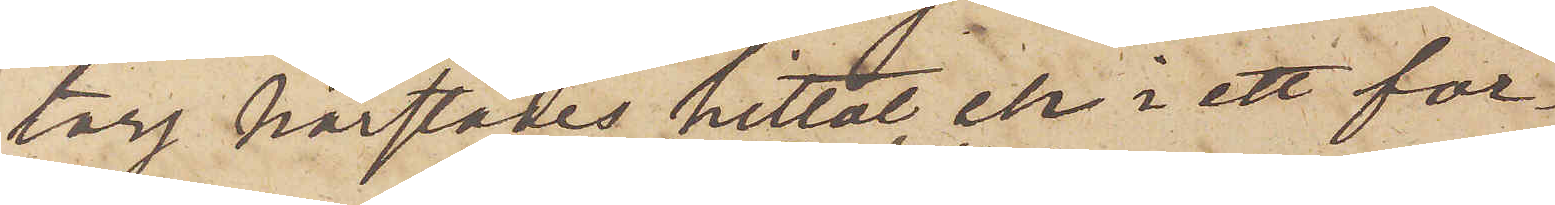torg härstädes hittat en i ett för¬
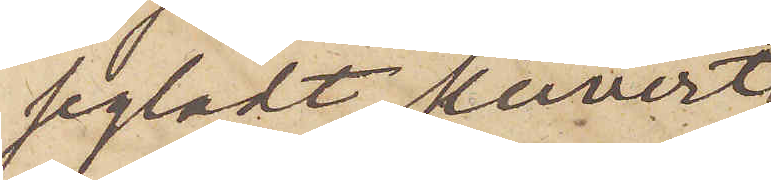segladt kuvert
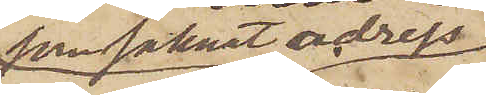som saknat adress
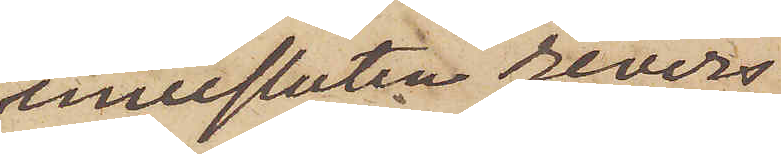innesluten revers
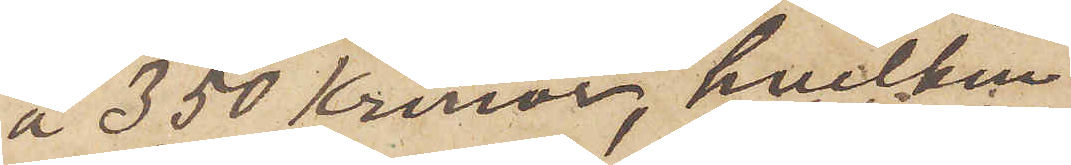å 350 Kronor, hvilken
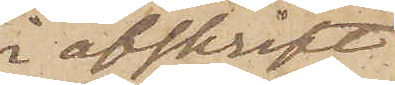i afskrift
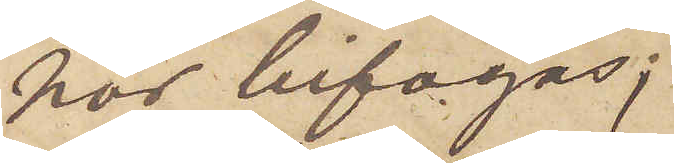här bifogas;
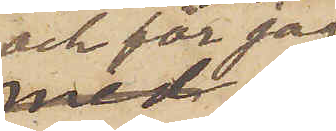och får jag
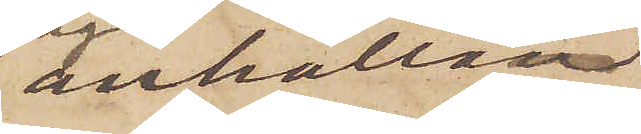anhålla,
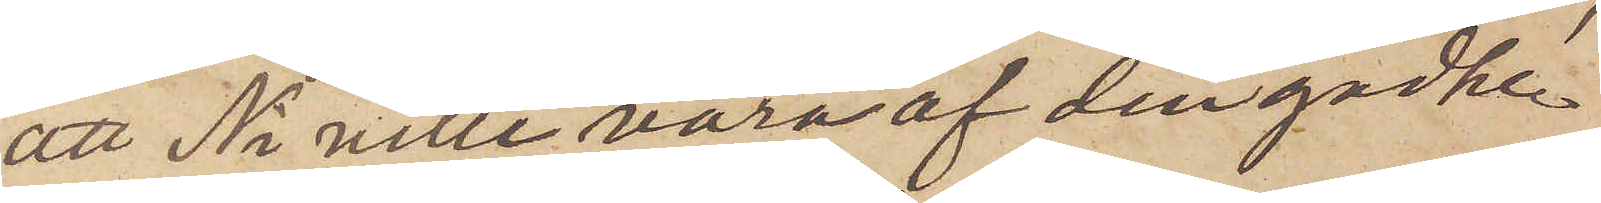att Ni ville vara af den godhe¬
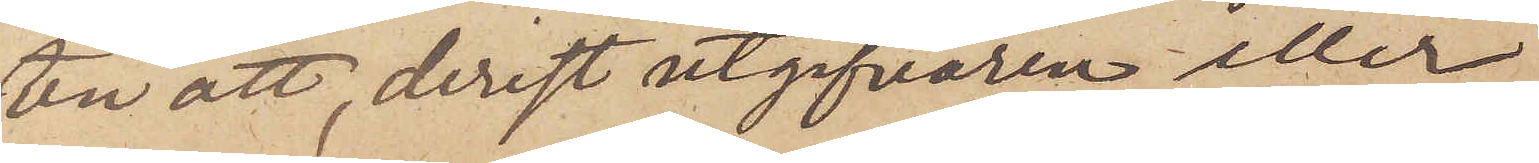ten att, derest utgifvaren eller
